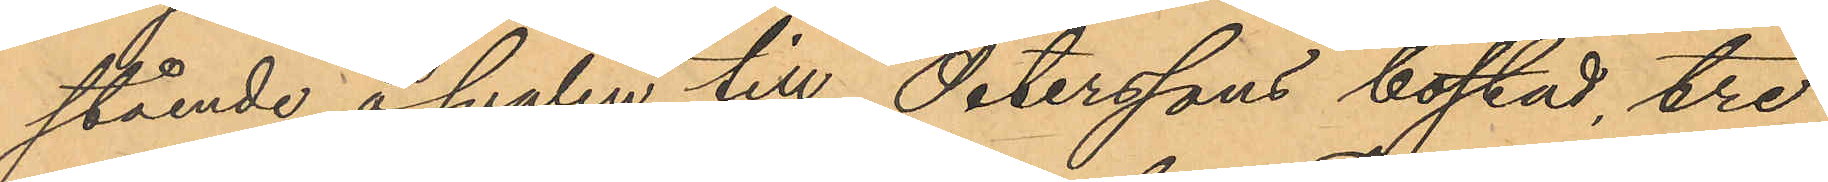stående å svalen till Peterssons bostad, tre
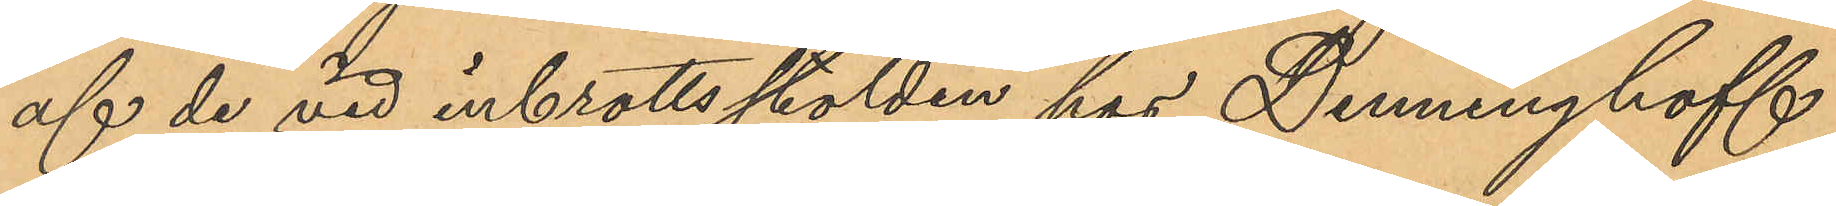af de vid inbrottsstölden hos Denninghoff
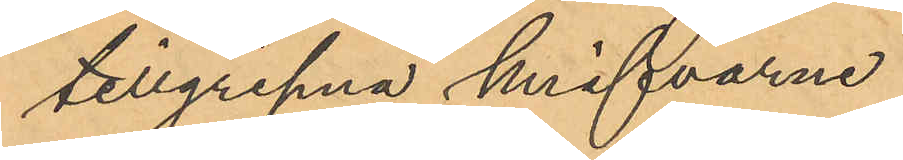tillgripna knifvarne.
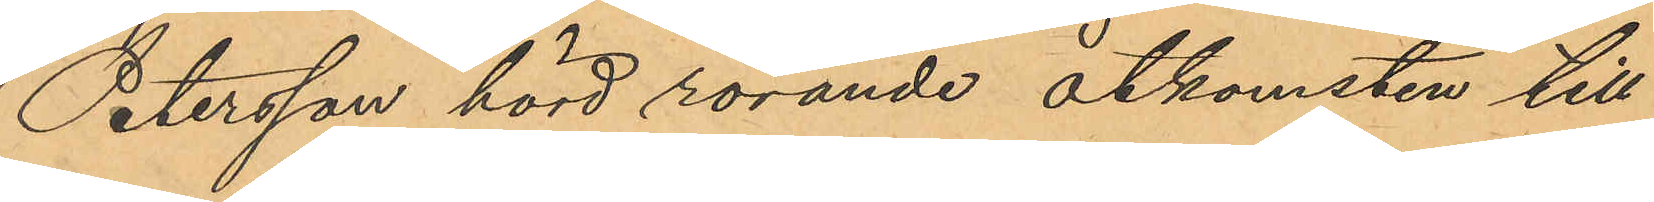Petersson hörd rörande åtkomsten till
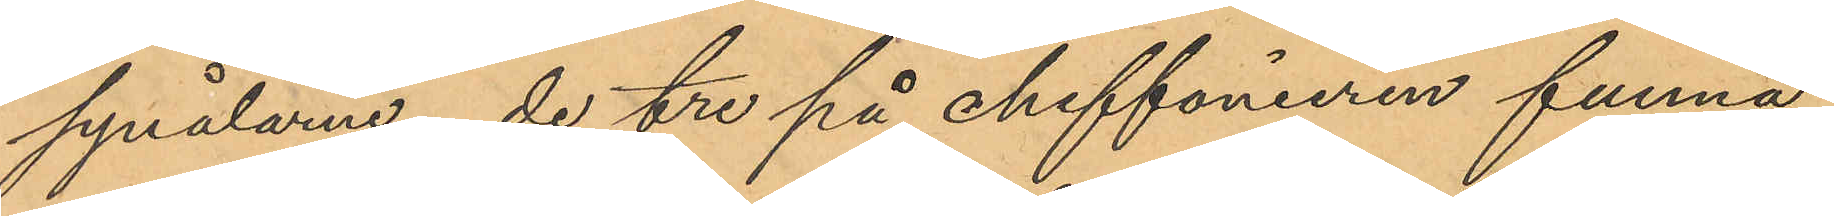synålarna, de tre på chiffonieren funna
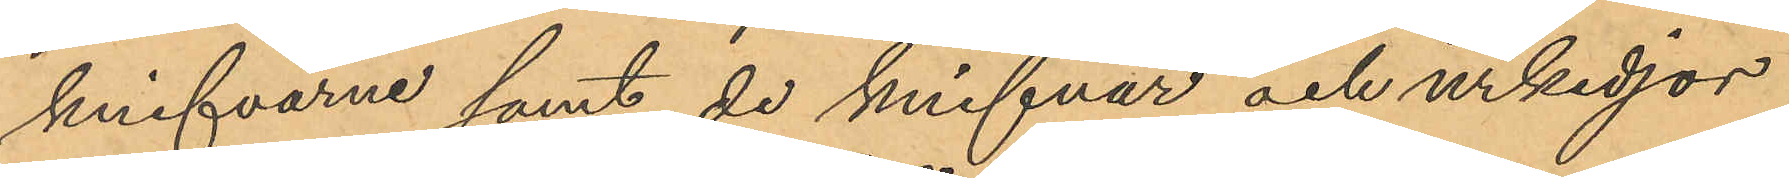knifvarne samt de knifvar och urkedjor
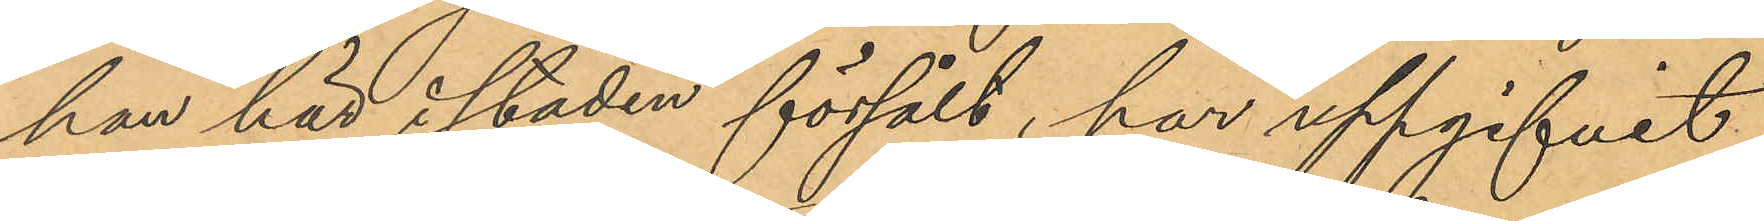han här i staden försålt, har uppgifvit
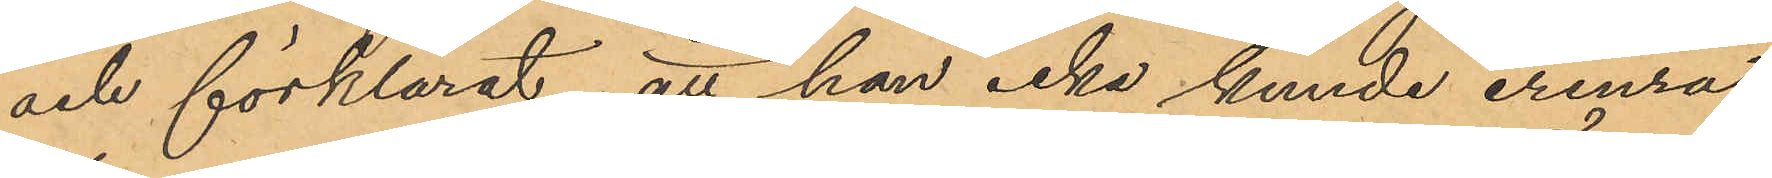och förklarat, att han icke kunde erinra
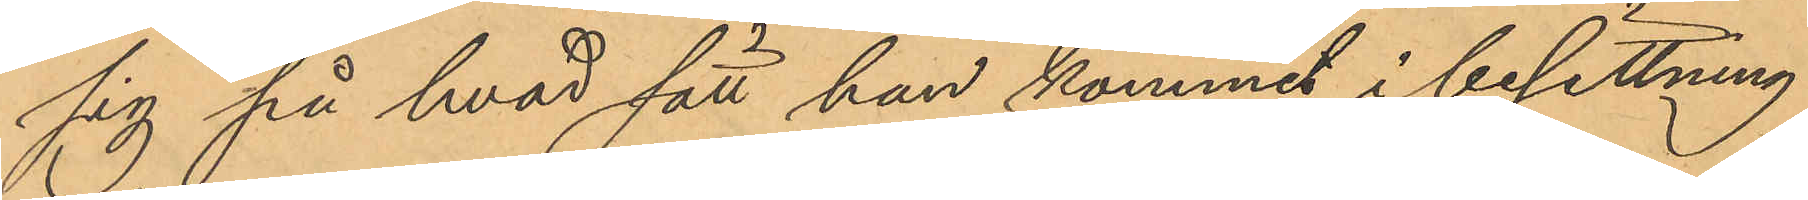sig på hvad sätt han kommit i besittning
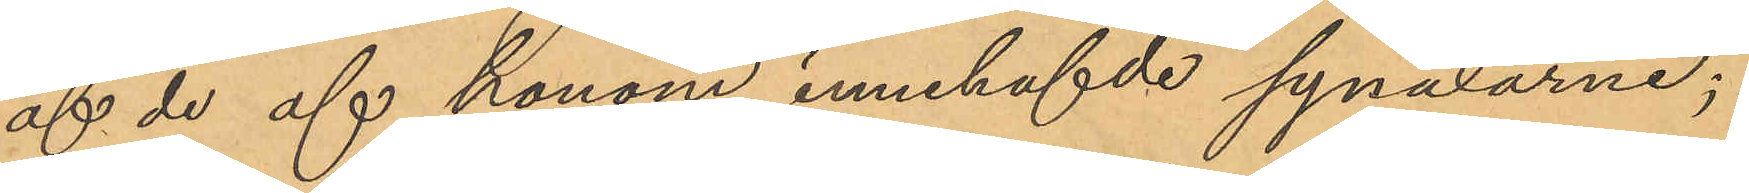af de af honom innehafde synålarne;
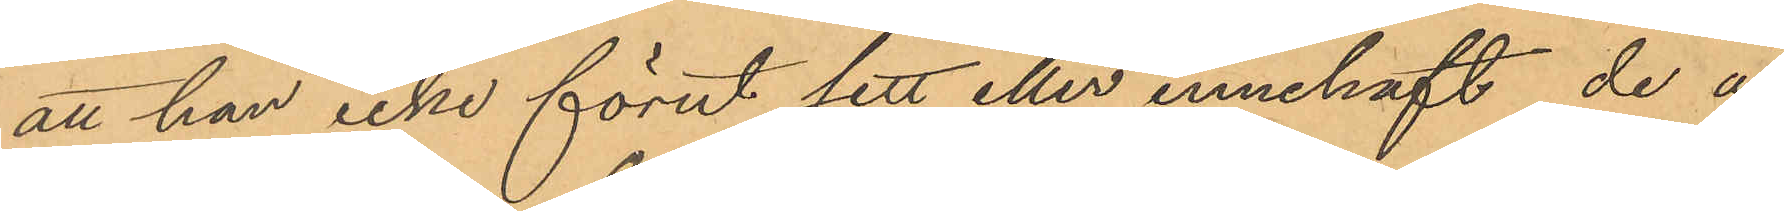att han icke förut sett eller innehaft de å
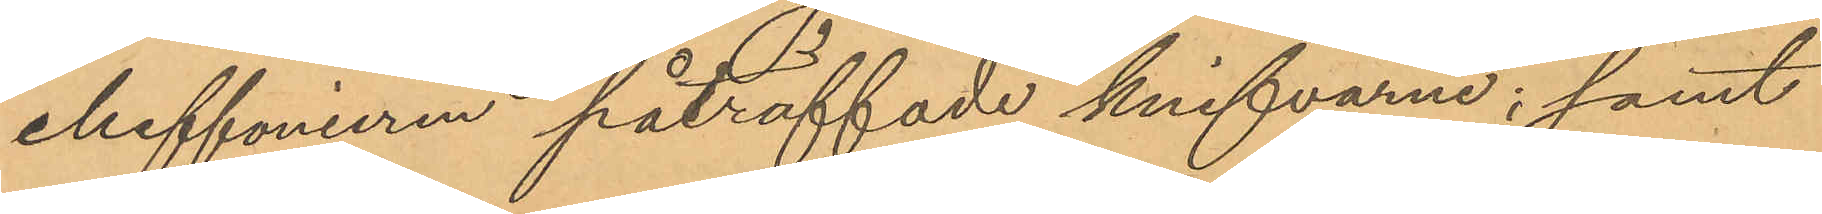chiffonieren påträffade knifvarne; samt
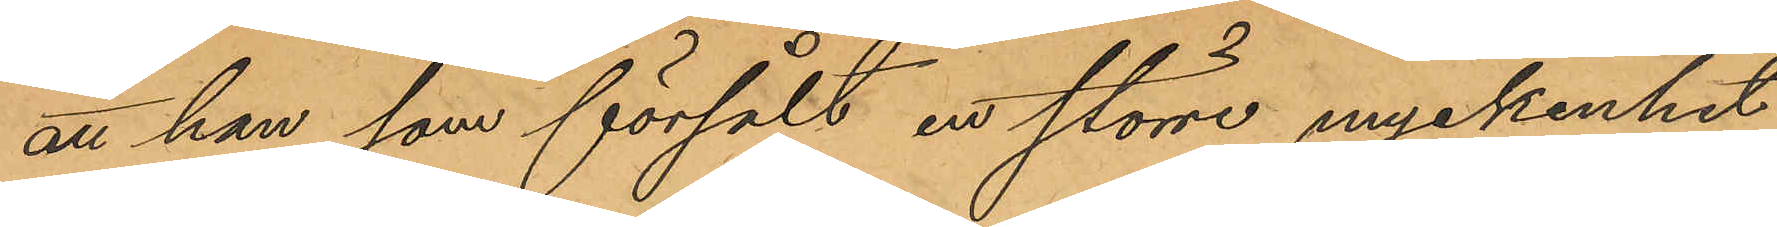att han som försålt en större myckenhet
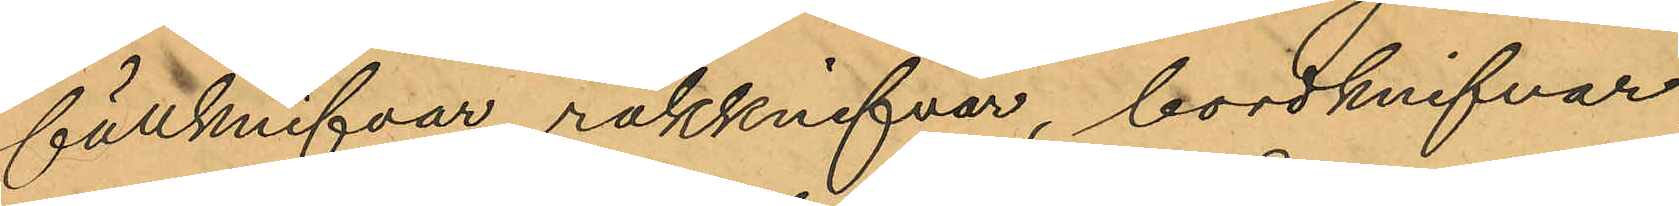fällknifvar rakknifvar, bordknifvar,
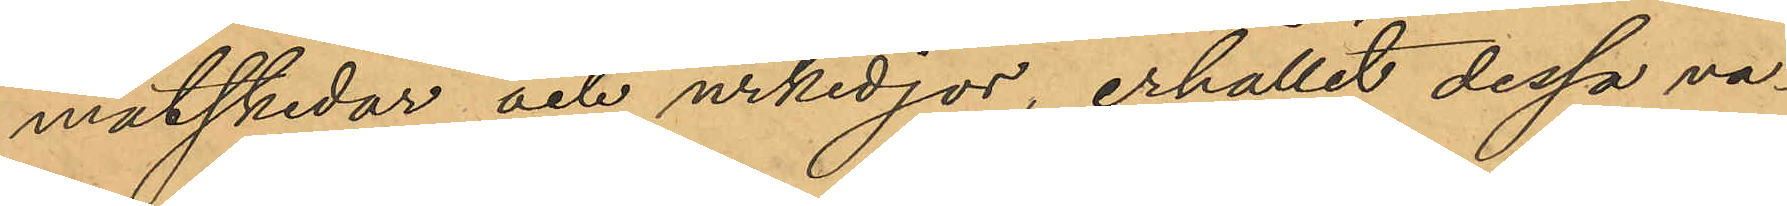matskedar och urkedjor, erhållit dessa va¬
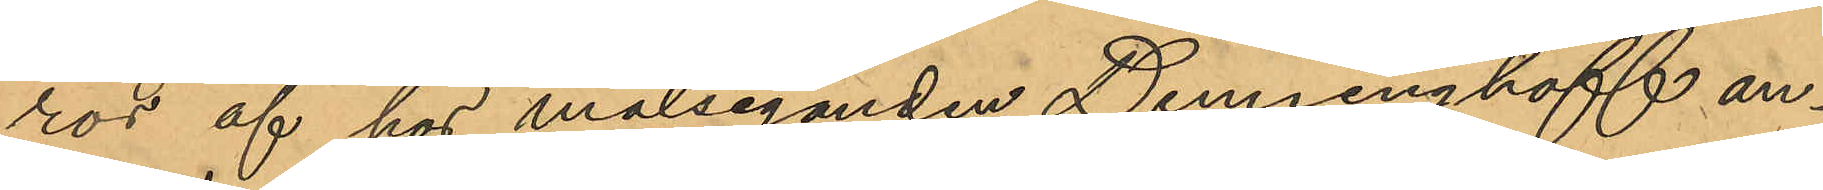ror af hos målseganden Denninghoff an¬
